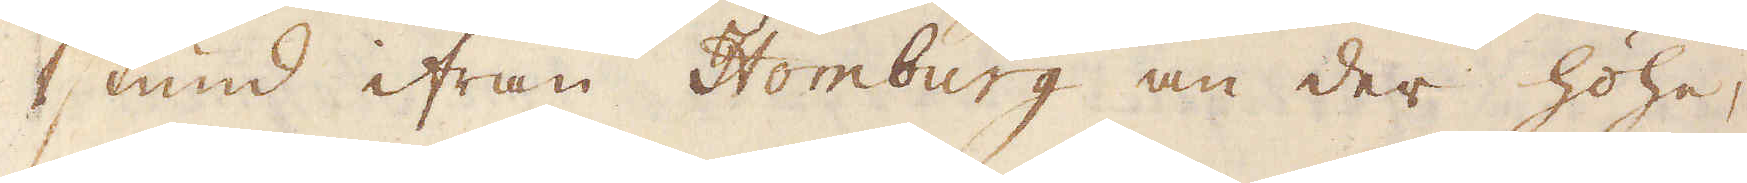1 stund ifrån Homburg an der Höhe,
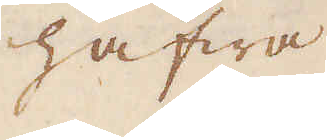hafwa
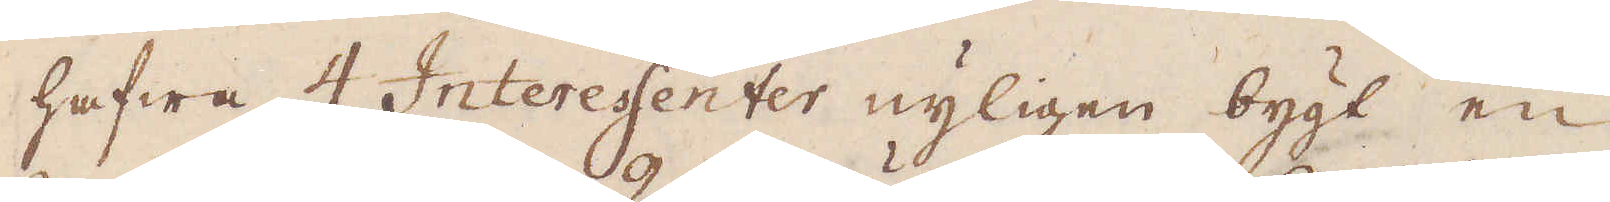hafwa 4 Interessenter nyligen bygt en
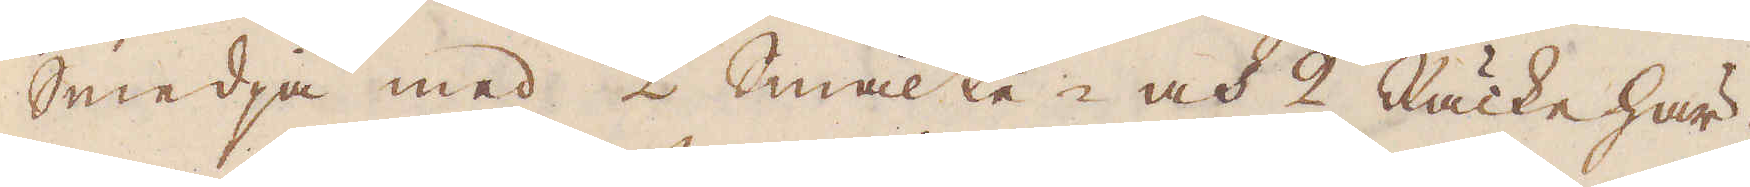Smedja med 2 Smälte- och 2 Räcke här-
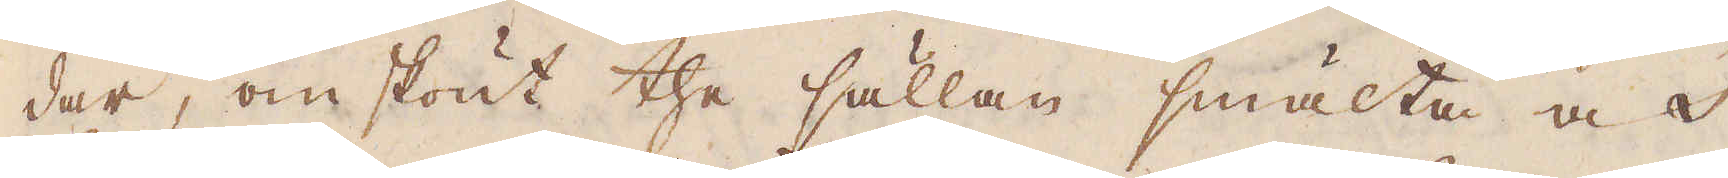dar, omskönt the sällan smälta och
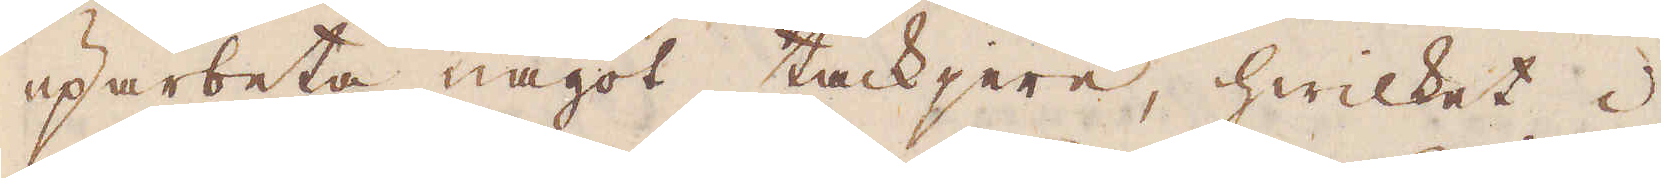uparbeta något tackjern, hwilket i
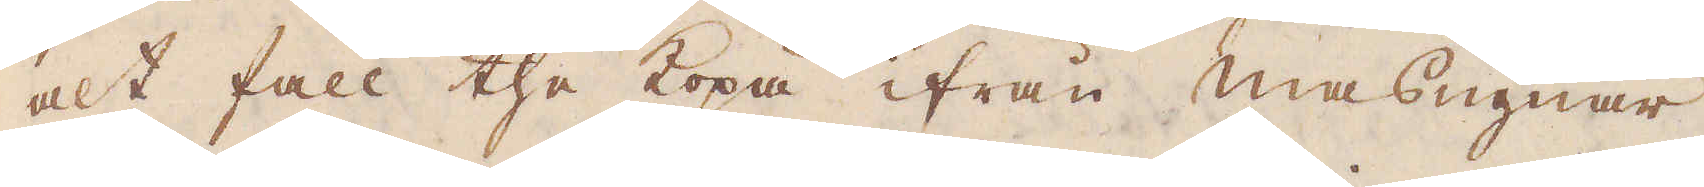alt fall the köpa ifrån masugnar-
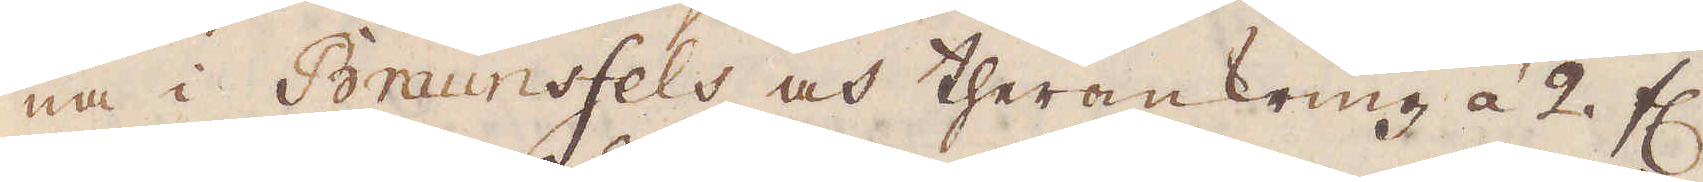na i Braunsfels och theromkring à 2 fl.
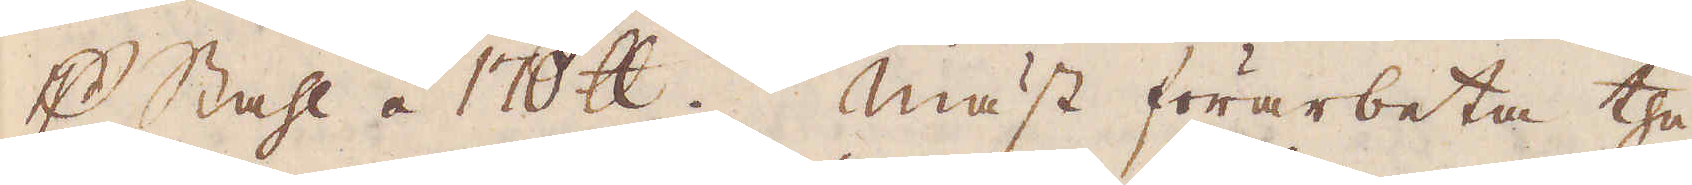p Stahl á 170 skålpund. Mäst förarbeta the
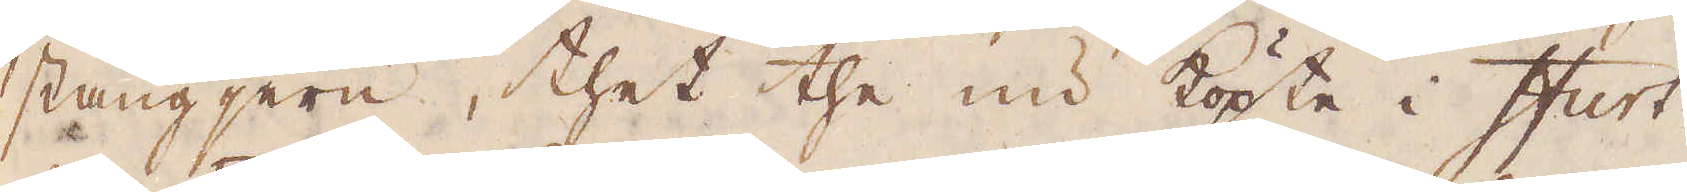stångjern, thet the nu köpte i Ifurt
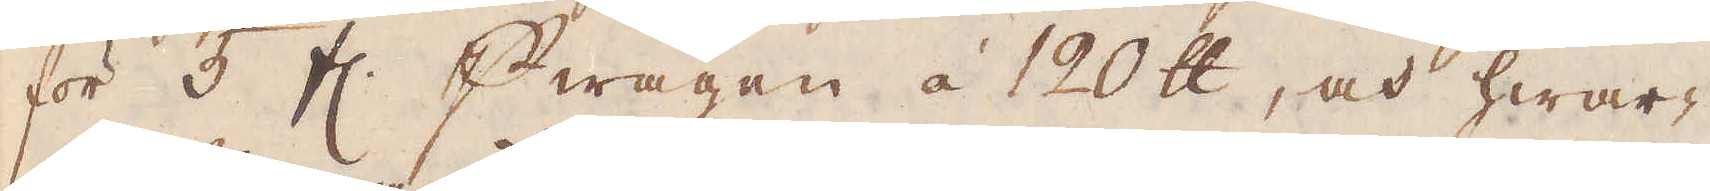för 5 fl. p wagen à 120 skålpund, och hwar-
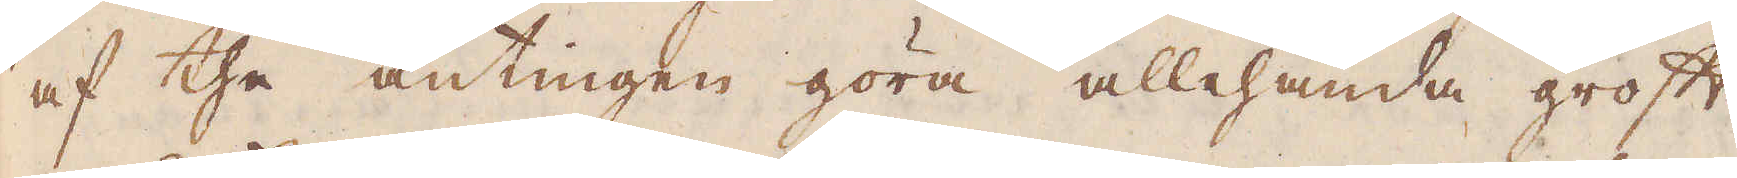af the antingen göra allehanda groft
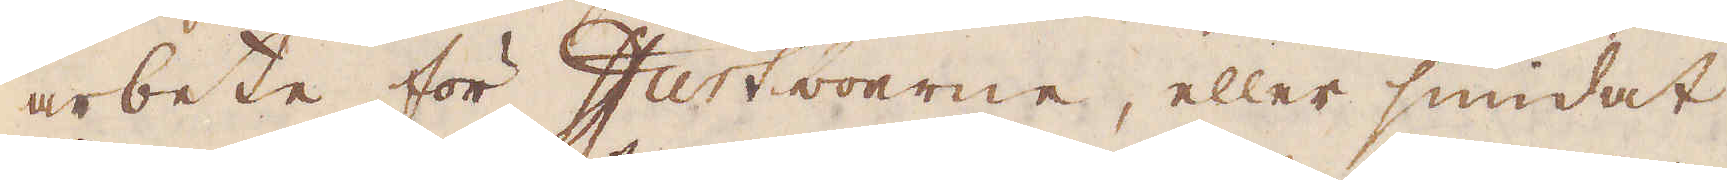arbete för Ifurtboerne, eller smidat
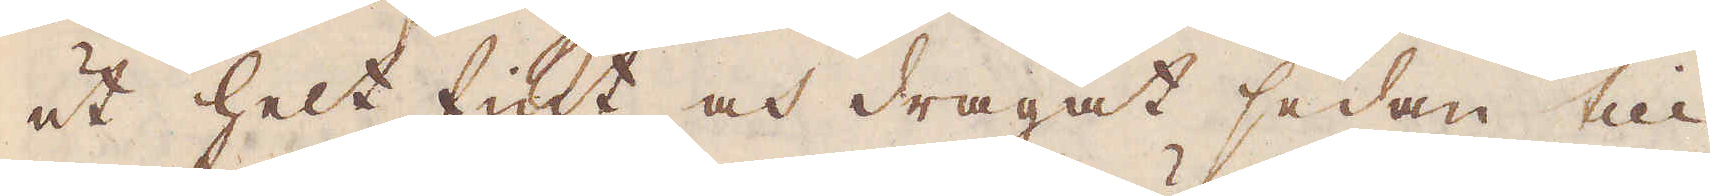ut helt fint och dragat sedan till
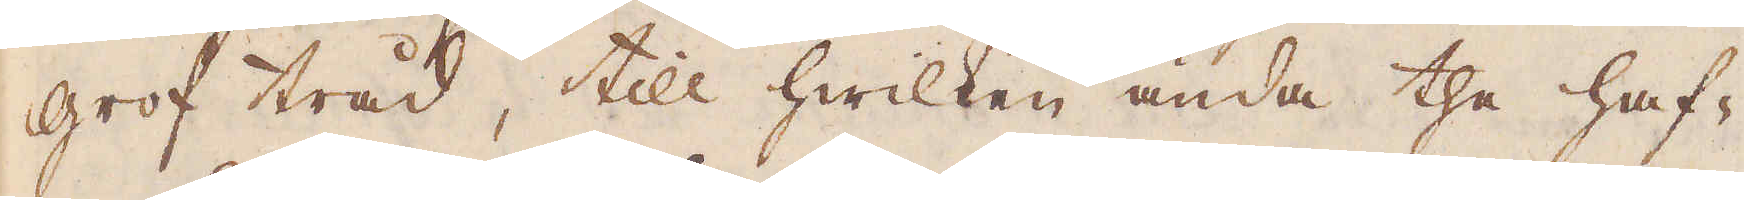grof tråd, till hwilken ända the haf-
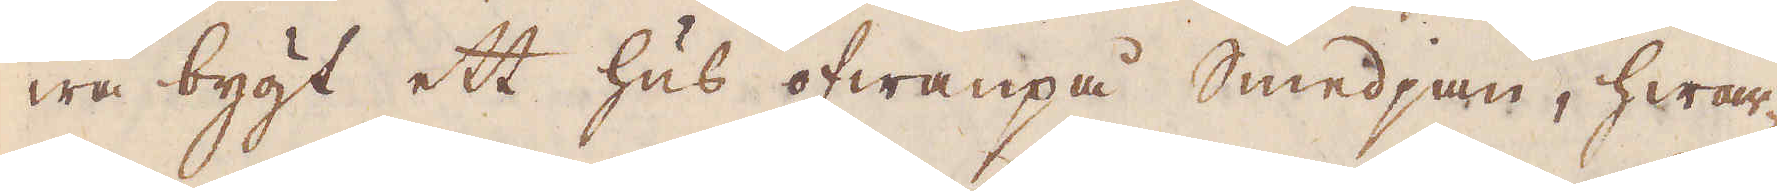wa bygt ett hus ofwanpå Smedjan, hwar-
